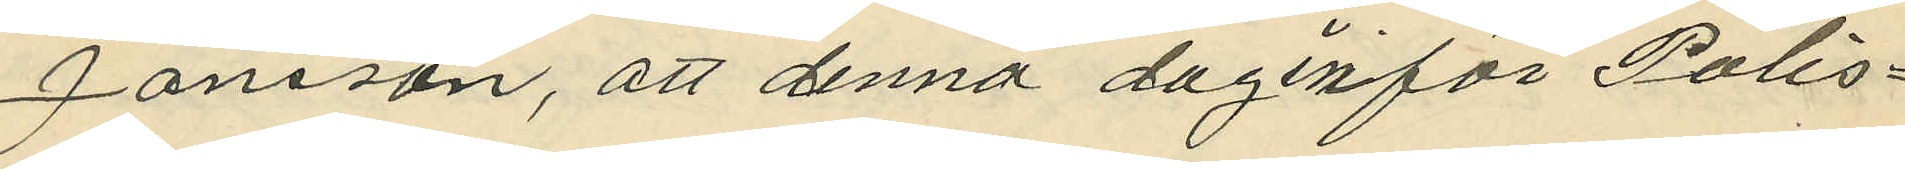Janson, att denna dag inför Polis¬
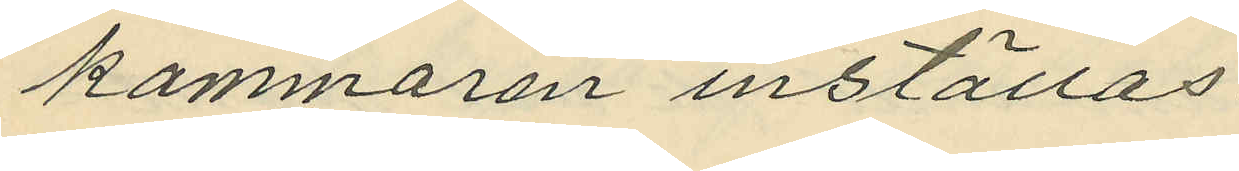kammaren inställas.
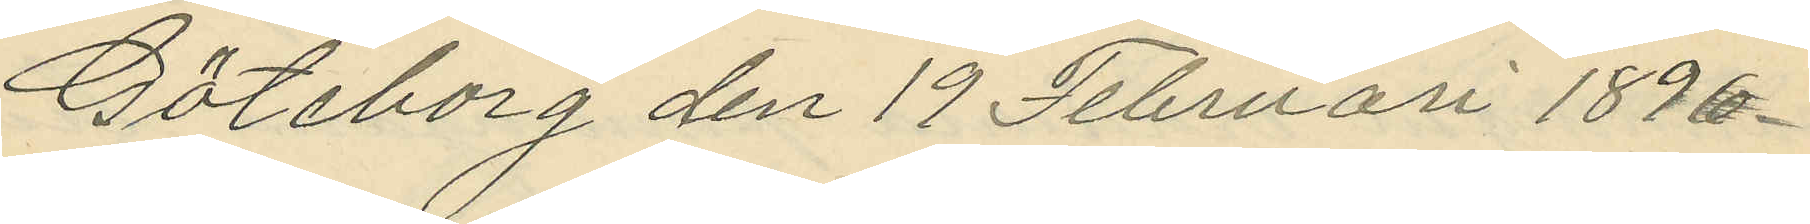Göteborg den 19 Februari 1896.
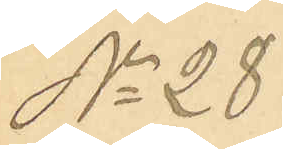No 28
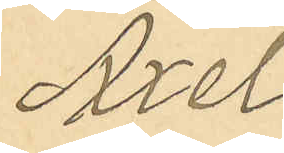Axel
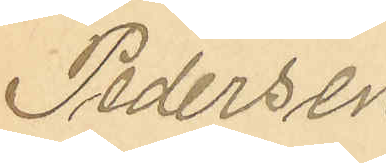Pedersen
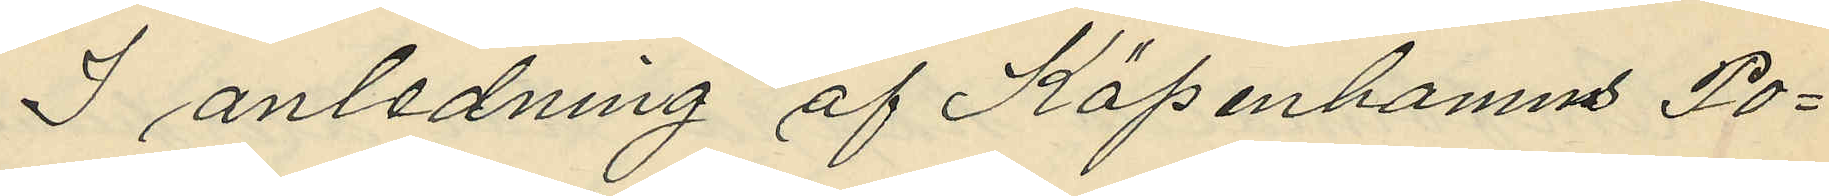I anledning af Köpenhamns Po¬
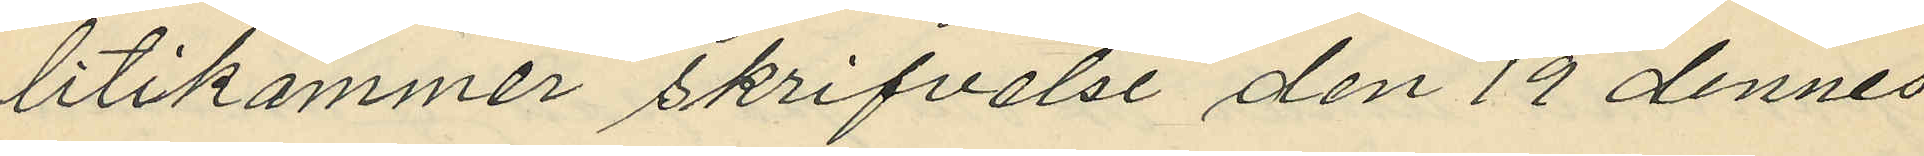litikammer skrifvelse den 19 dennes
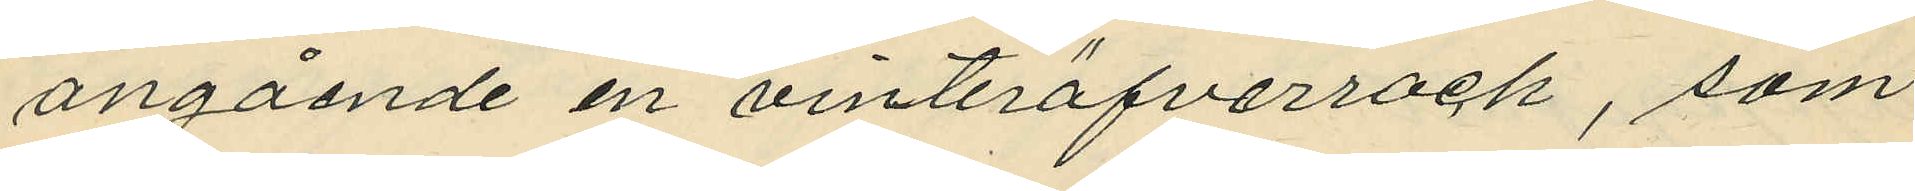angående en vinteröfverrock, som
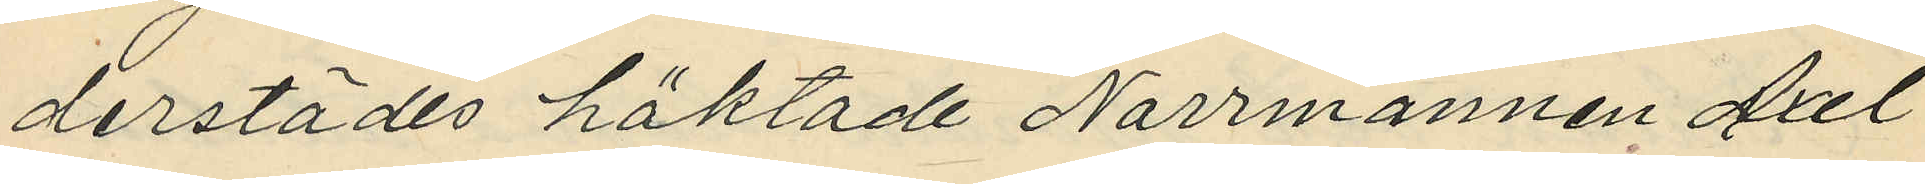derstädes häktade Norrmannen Axel
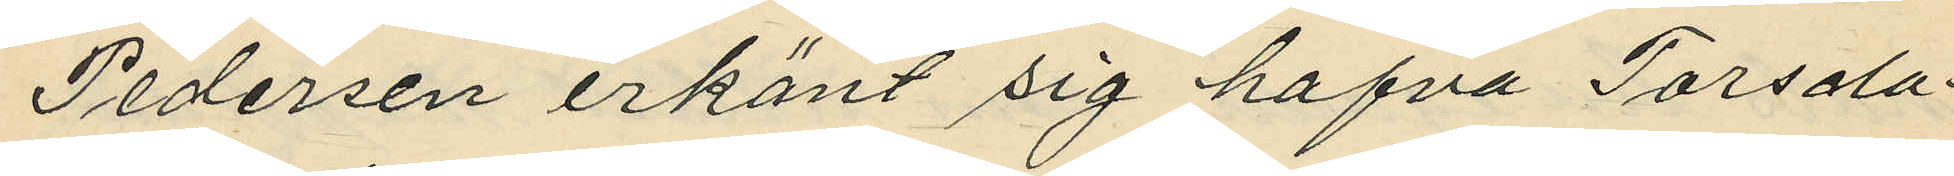Pedersen erkänt sig hafva Torsda¬
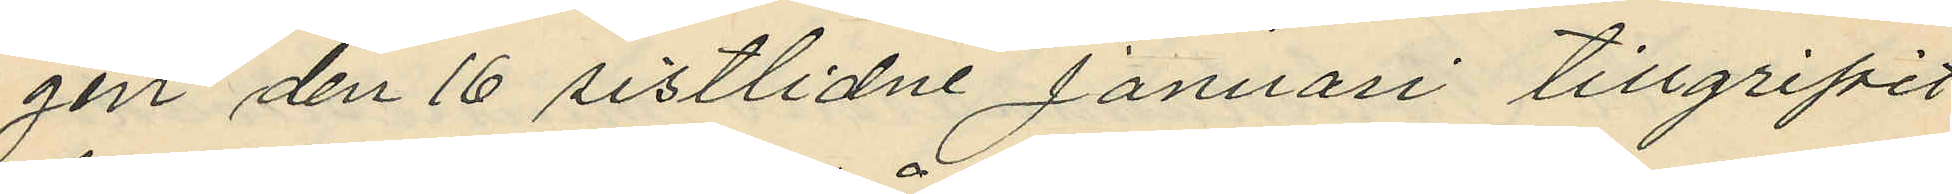gen den 16 sistlidne Januari tillgripit
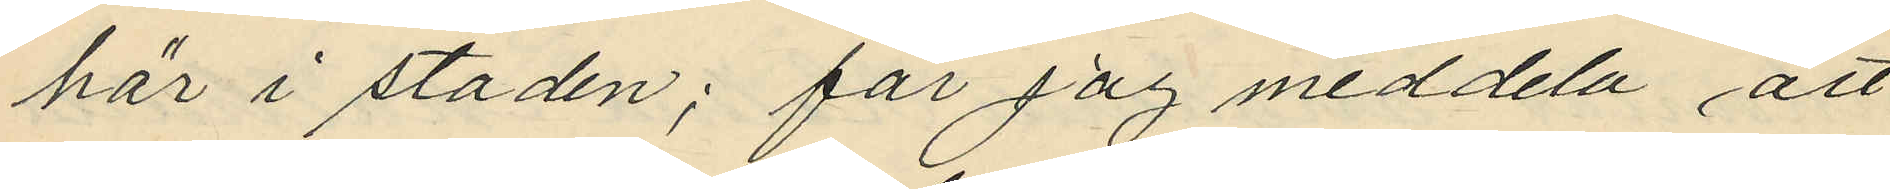här i staden; får jag meddela att
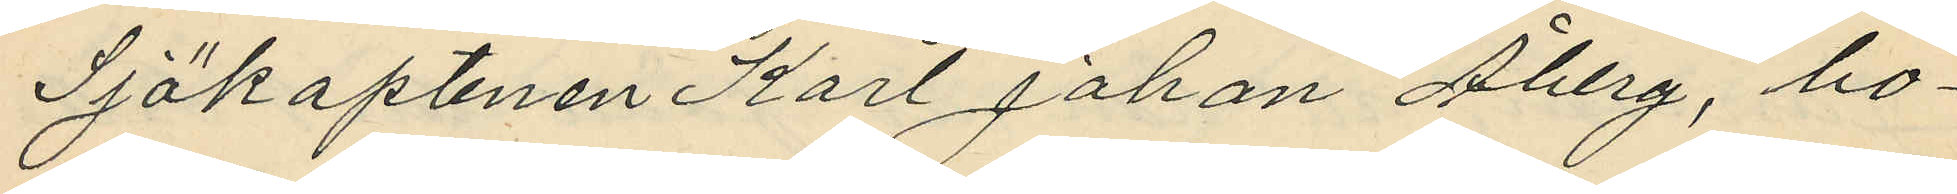Sjökaptenen Karl Johan Åberg, bo¬
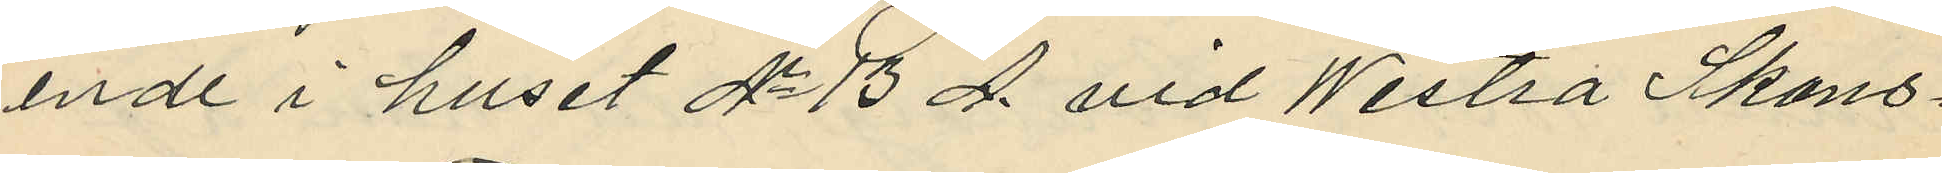ende i huset No 13 A vid Westra Skans¬
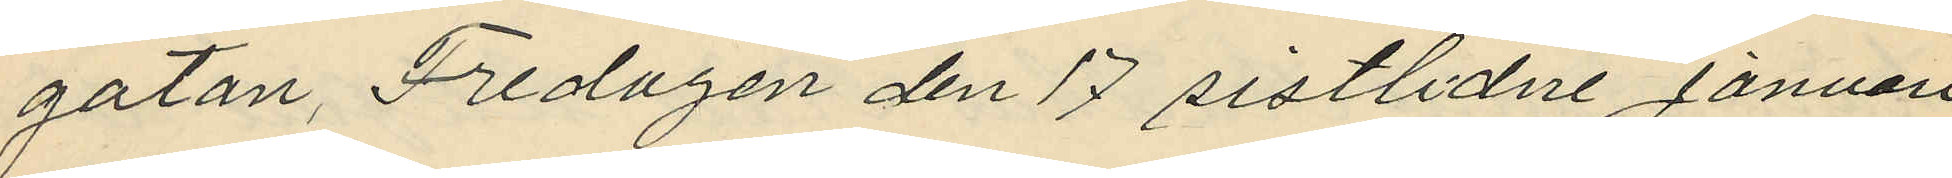gatan, Fredagen den 17 sistlidne Januari
